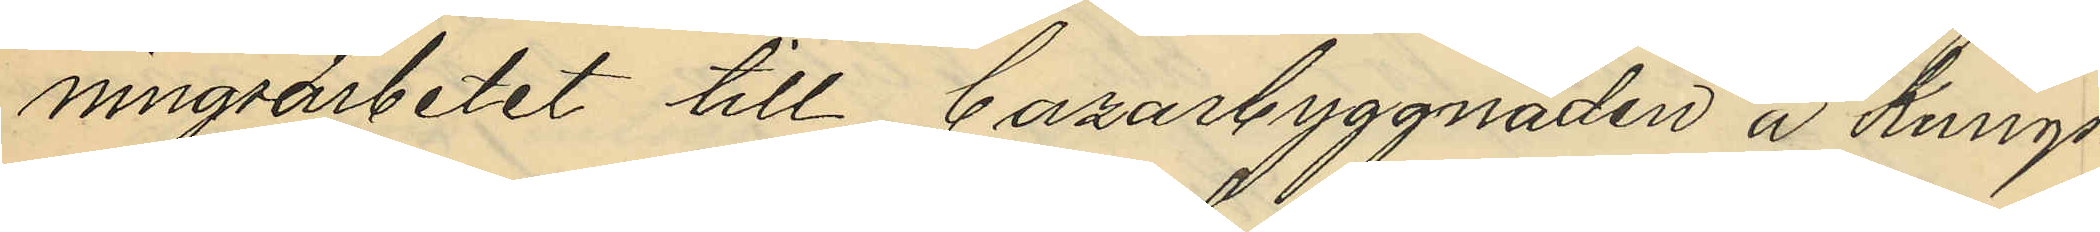ningsarbetet till Bazarbyggnaden å Kungs¬
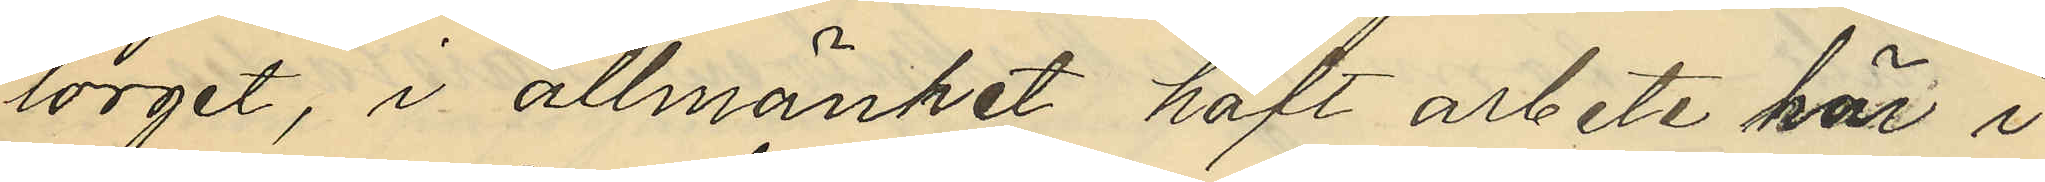torget, i allmänhet haft arbete här i 
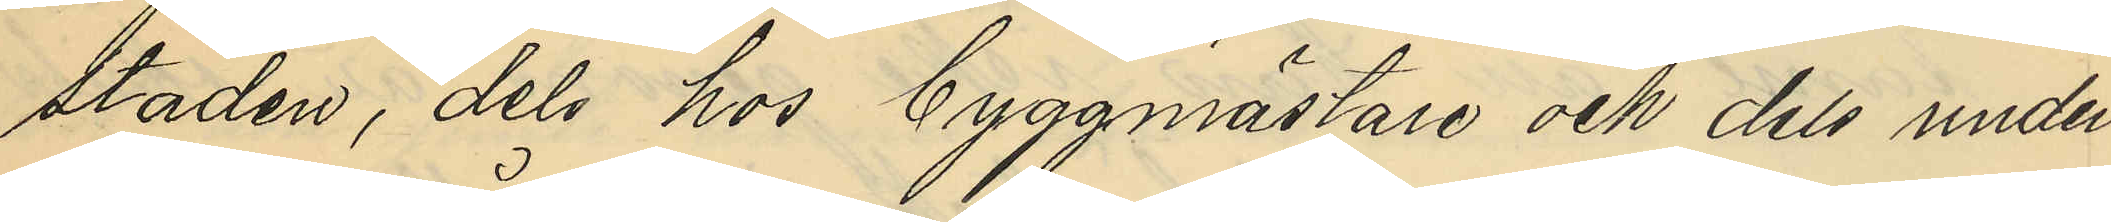staden, dels hos byggmästare och dels under
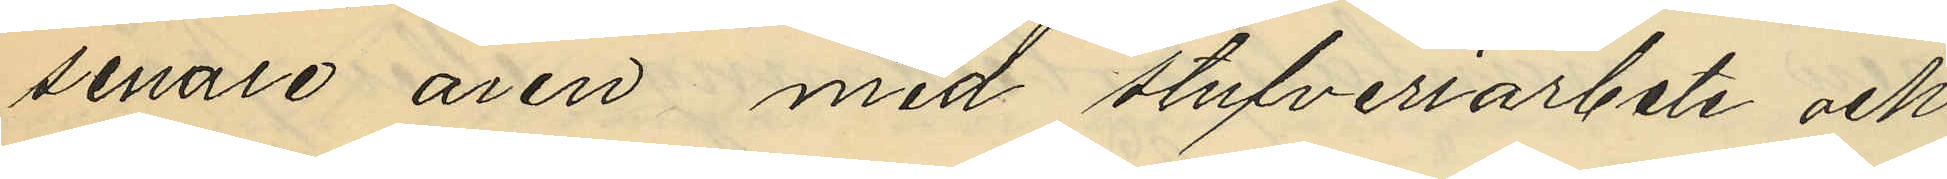senare åren med stufveriarbete och
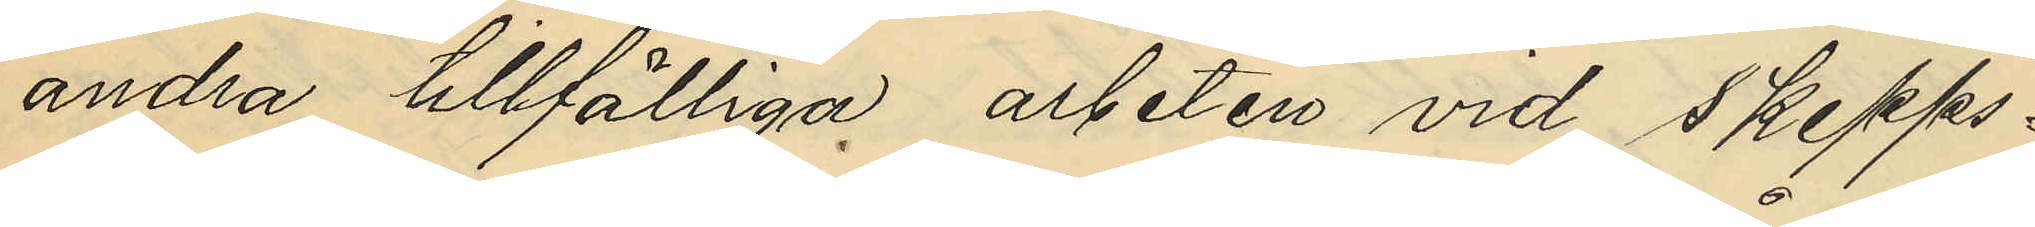andra tillfälliga arbeten vid Skepps¬
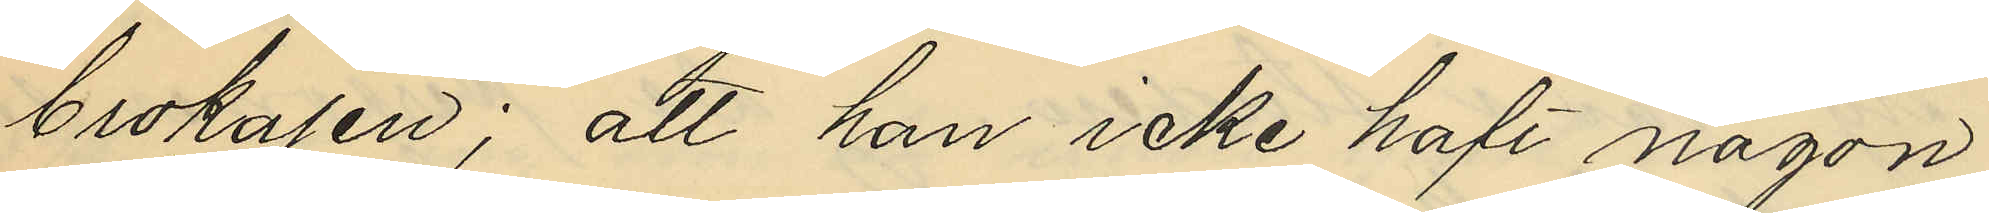brokajen; att han icke haft någon
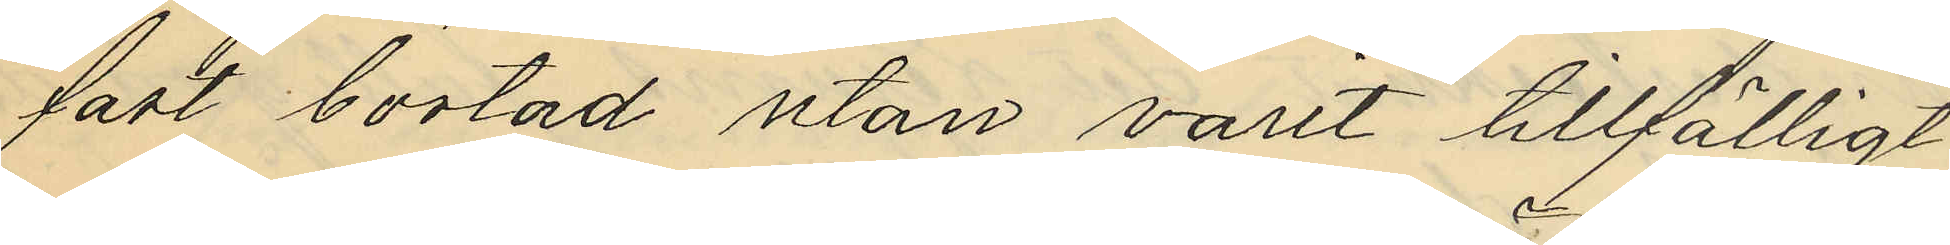fast bostad utan varit tillfälligt
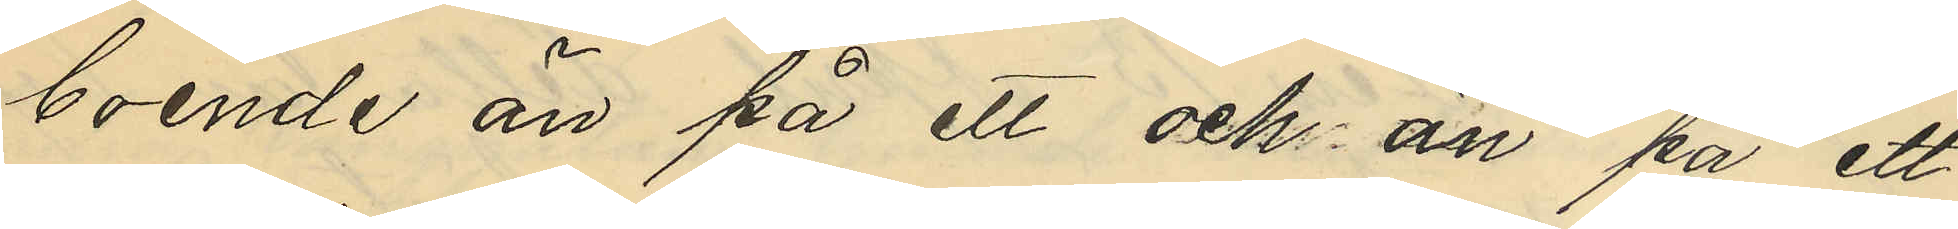boende än på ett och än på ett
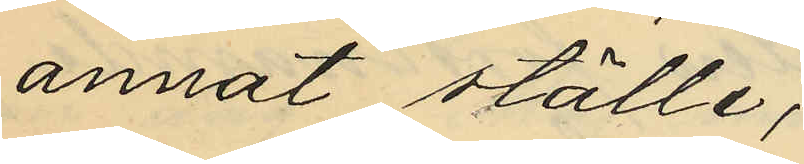annat ställe;
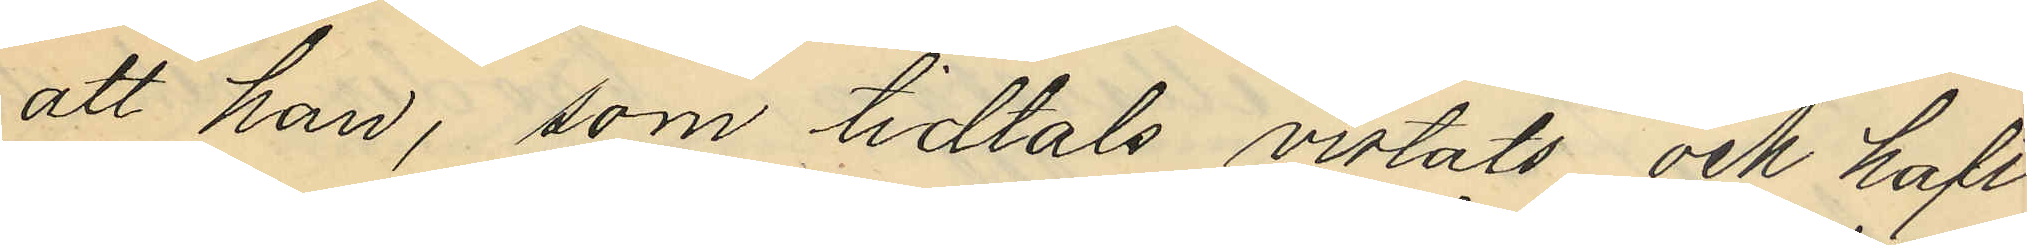att han, som tidtals vistats och haft
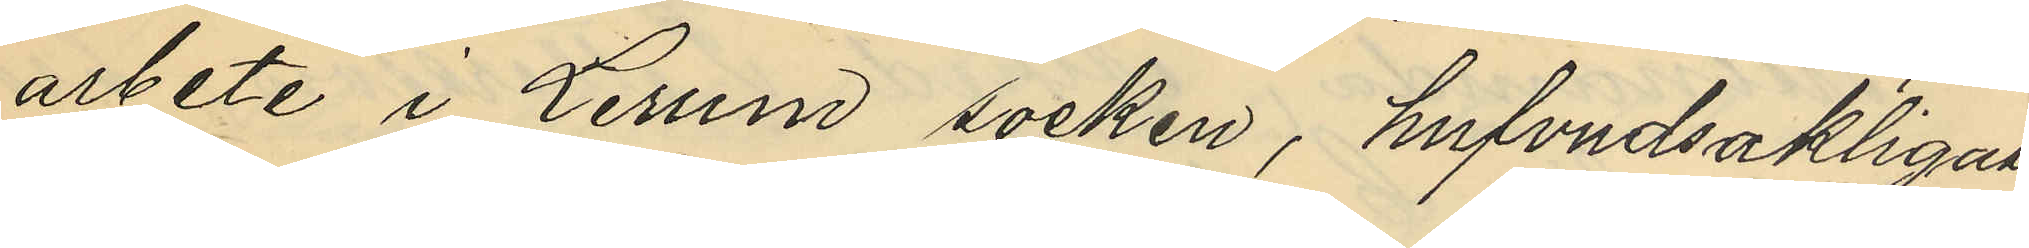arbete i Lerum socken, hufvudsakligast
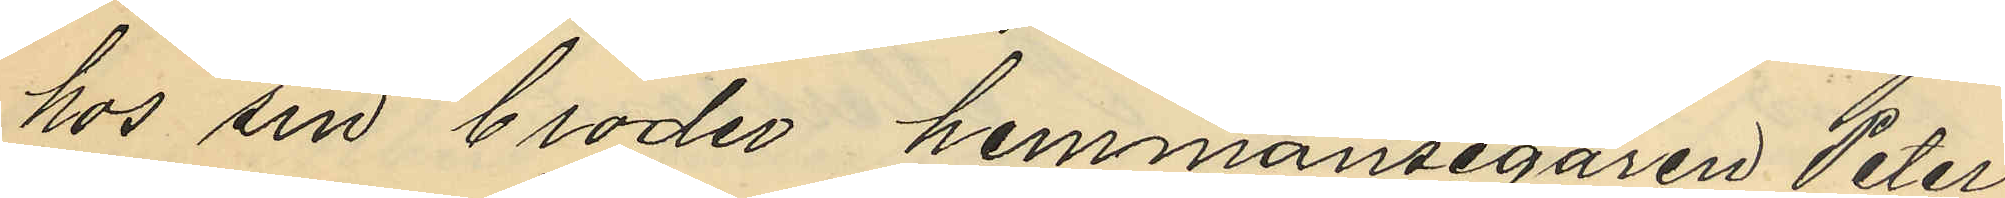hos sin broder hemmansegaren Peter
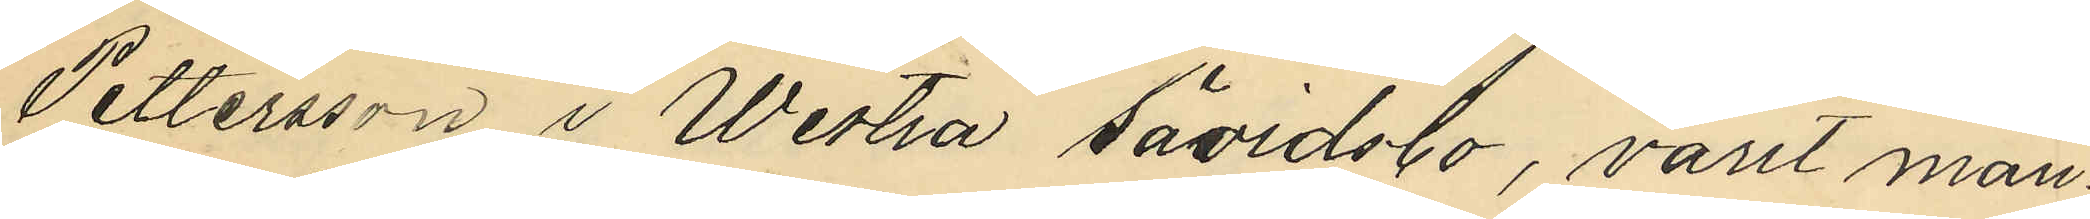Pettersson i Westra Sävidsbo, varit man¬
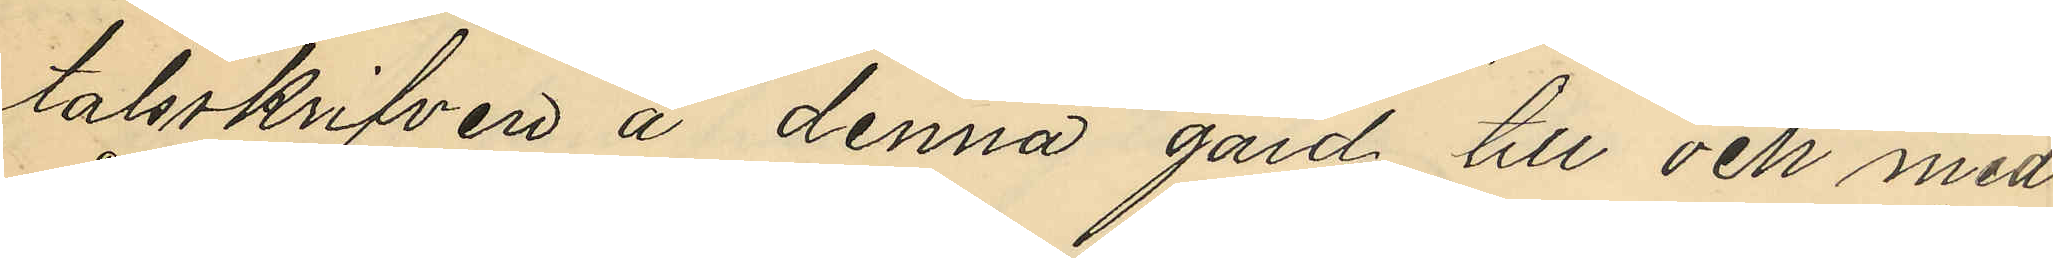talsskrifven å denna gård till och med
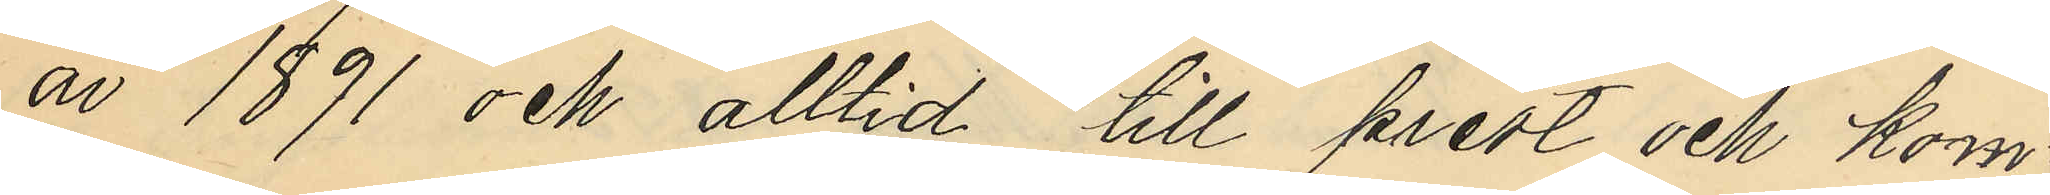år 1891 och alltid till prest och kom¬
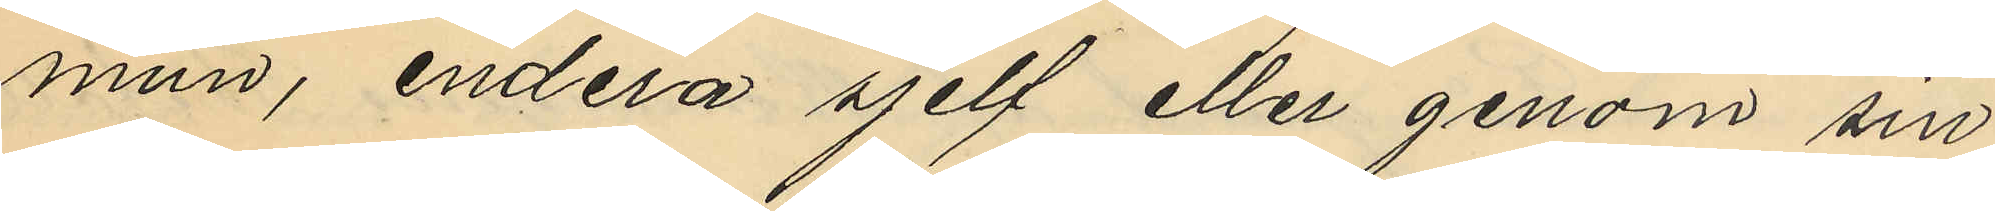mun, endera sjelf eller genom sin
